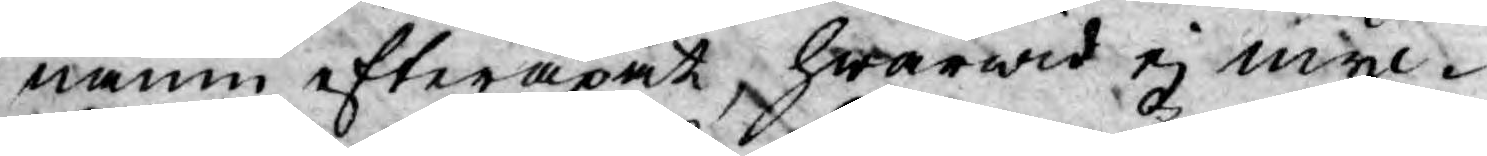namn efterapat, hwarwid ej myc¬
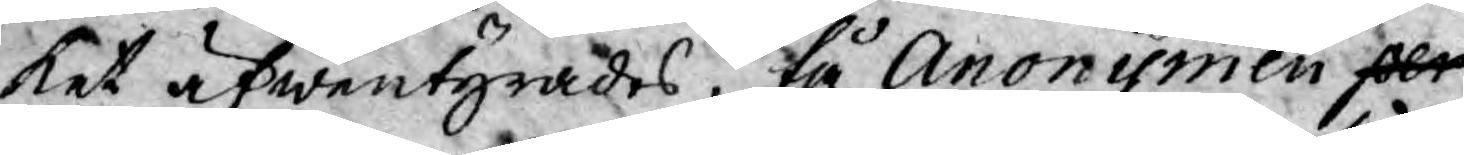ket äfwentyrades, tå Anonymen per
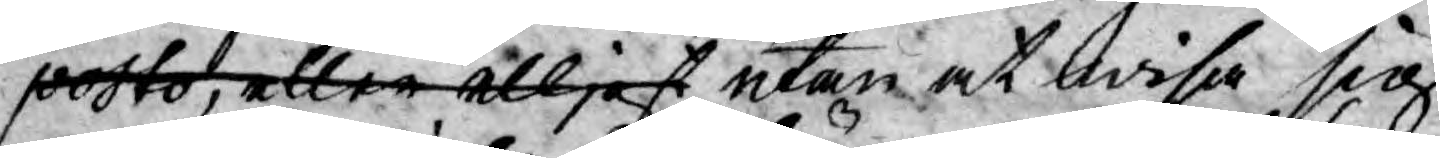posto, eller elljest utan at wisa sig,
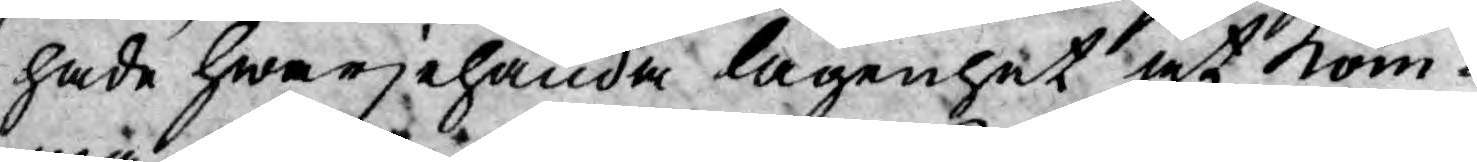hade hwarjehanda lägenhet at kom¬
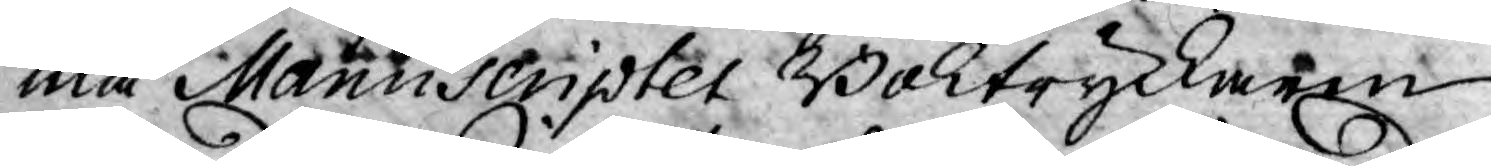ma Manuscripter Boktryckaren
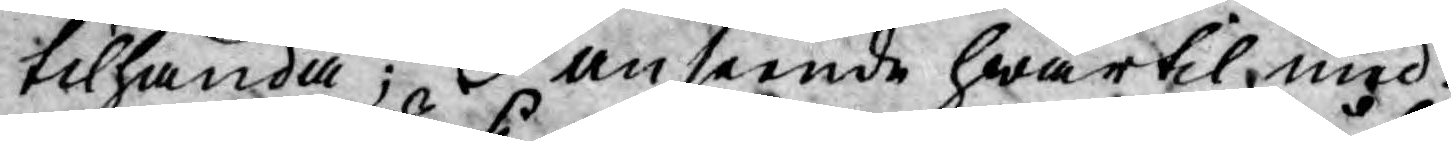tilhanda; I anseende hwartil med
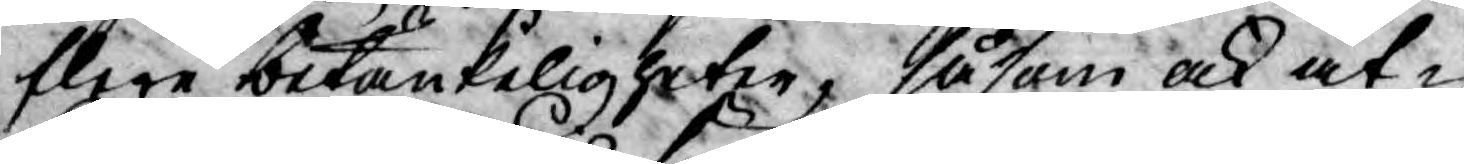flere betänkeligheter, såsom ock åt¬
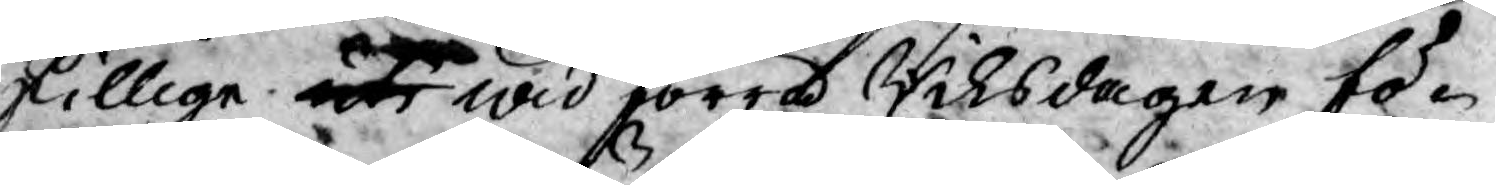skillige at wid förra Riksdagen fö¬
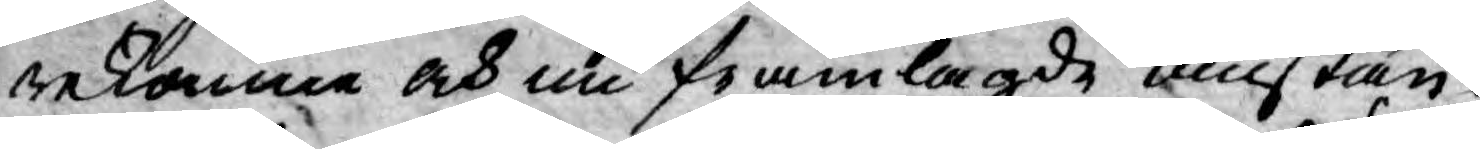rekomne och nu framlagde omstän¬
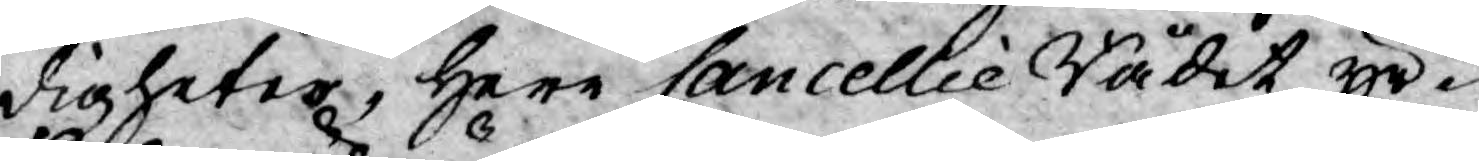digheter, Herr Cancellie Rådet yr¬
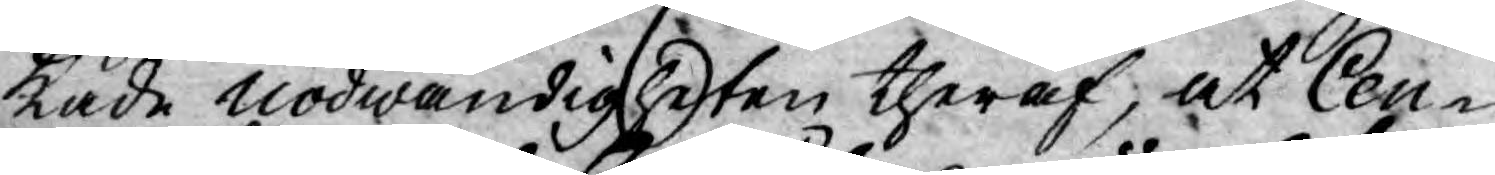kade nödwändigheten theraf, at Cen¬
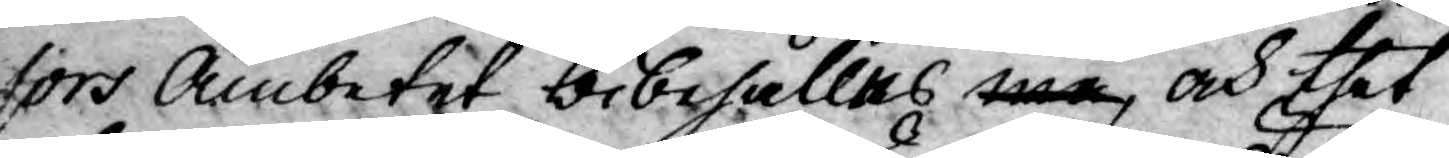sors Ämbetet bibehållas må, och thet
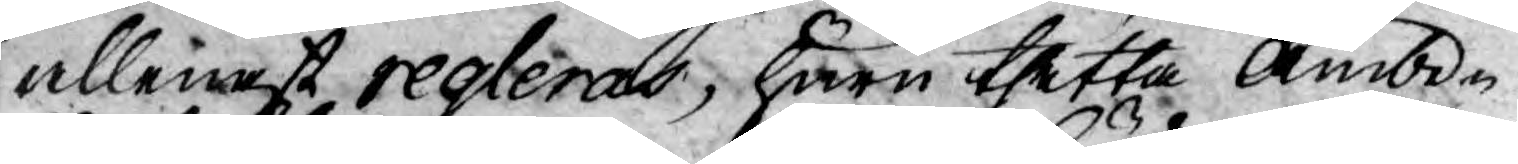allenast regleras, huru thetta Ämbe¬
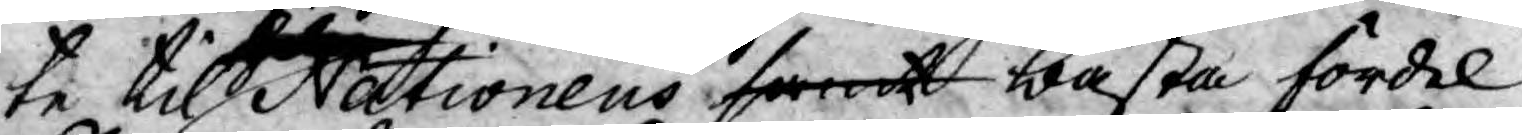te til Nationens samt bästa fördel
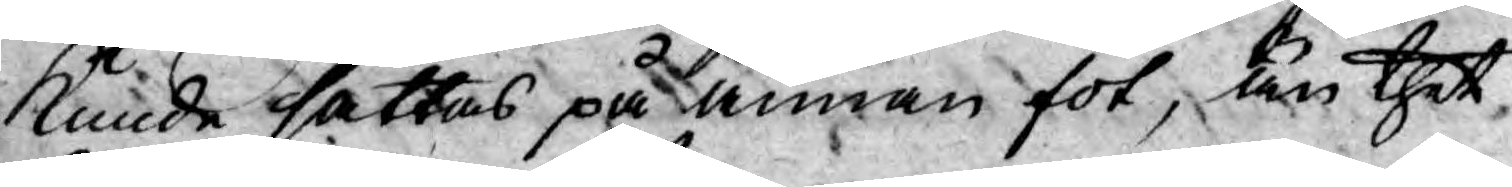kunde sättas på annan fot, än thet
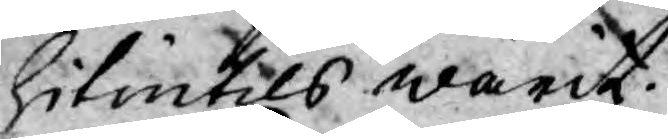hitintils warit.
